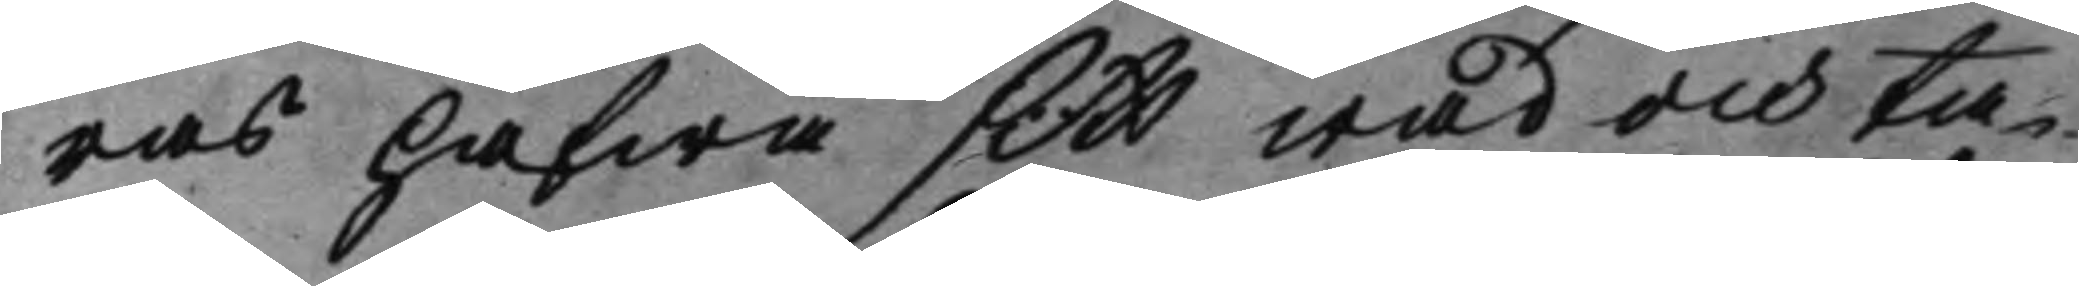ras hafwa sitt wad och ta¬
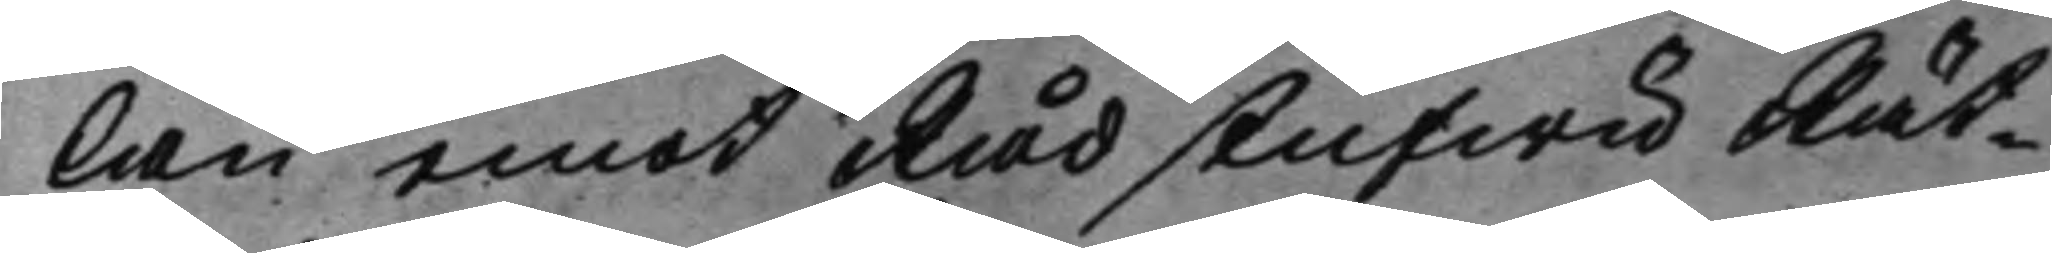lan emot RådstufwuRät¬
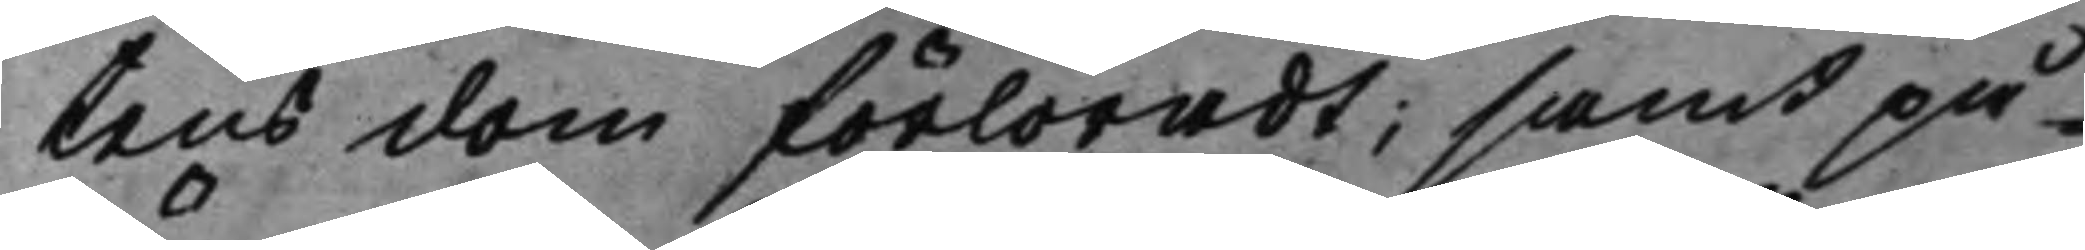tens dom förloradt; samt på¬
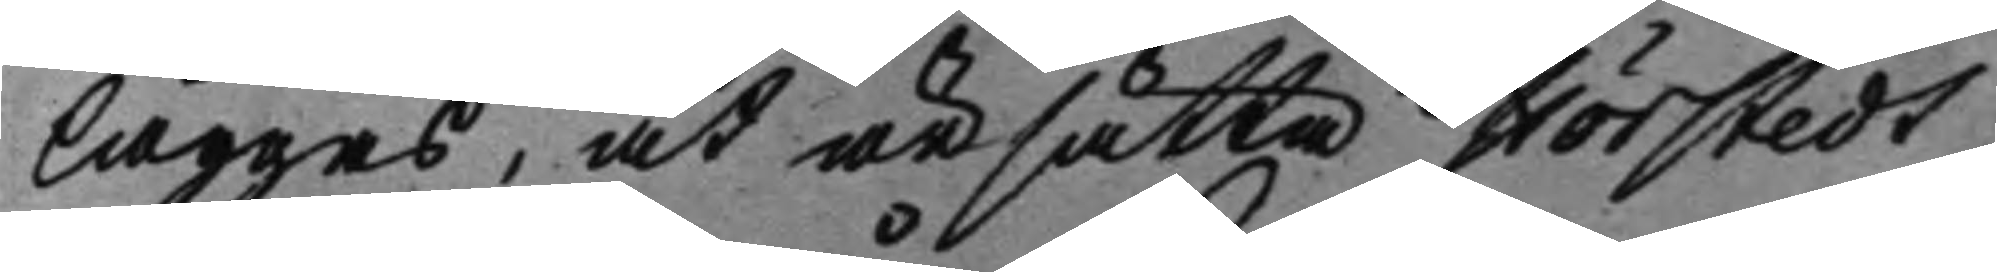läggas, at ärsätta Hörstedt
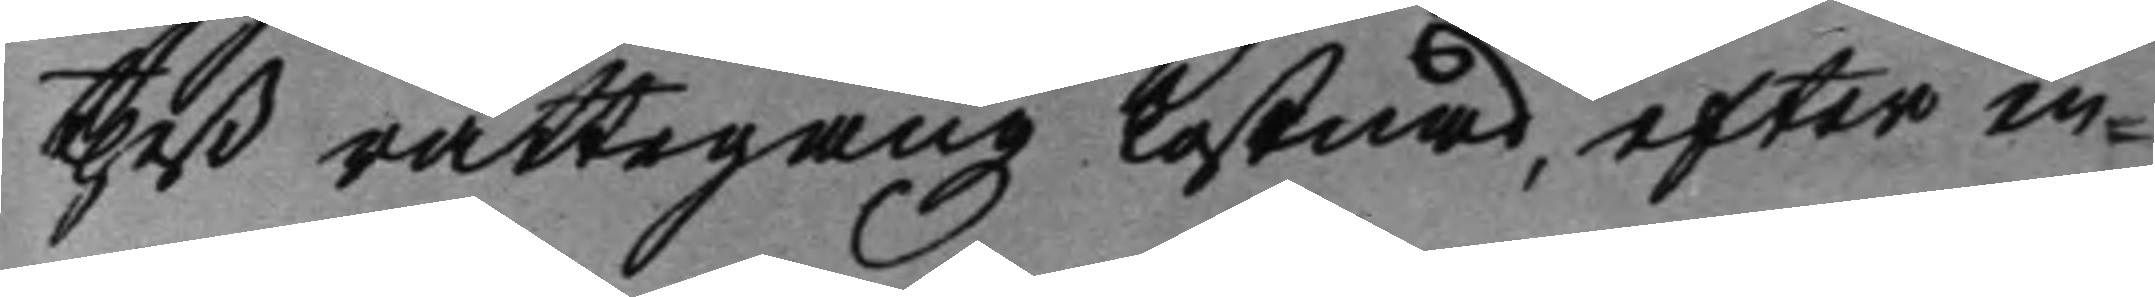theß rättegångz kostnad, efter en
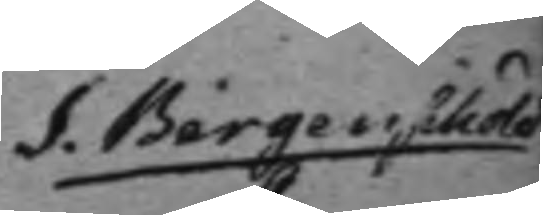S. Bergenschöld 
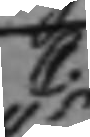C.
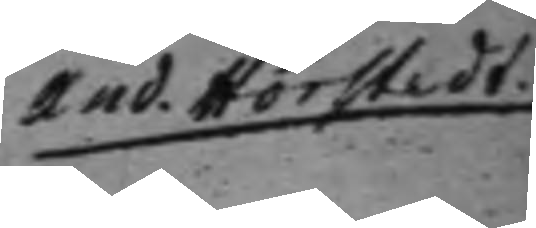And. Hörstedt. 
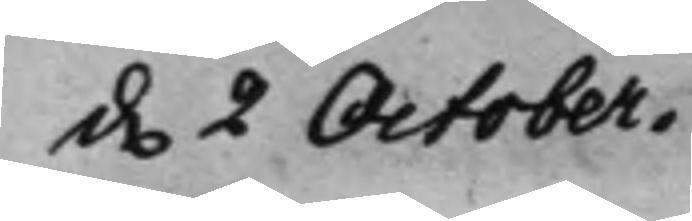d. 2 October. 
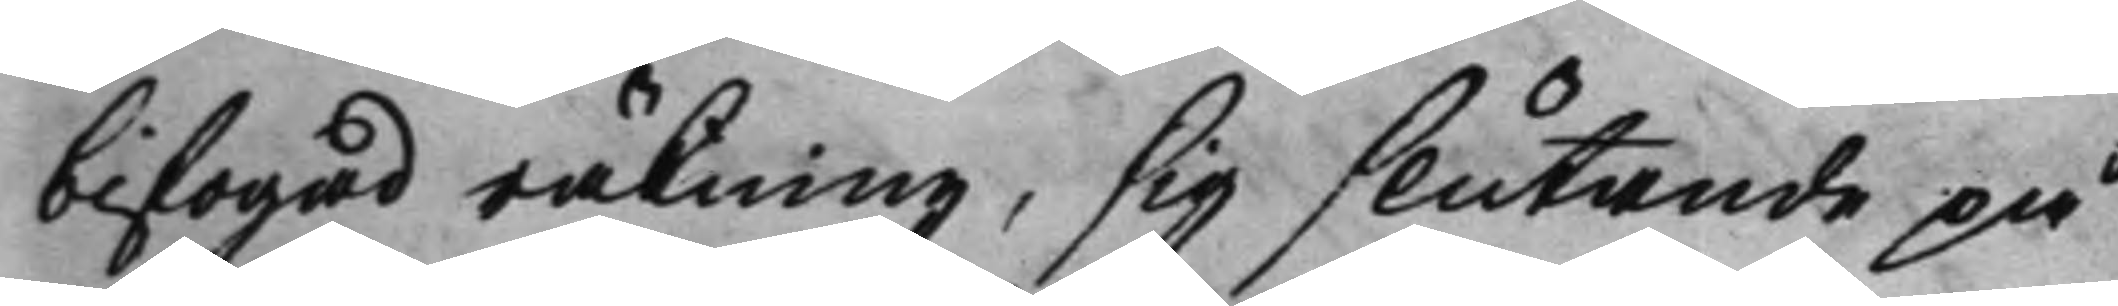bifogad räkning, sig slutande på
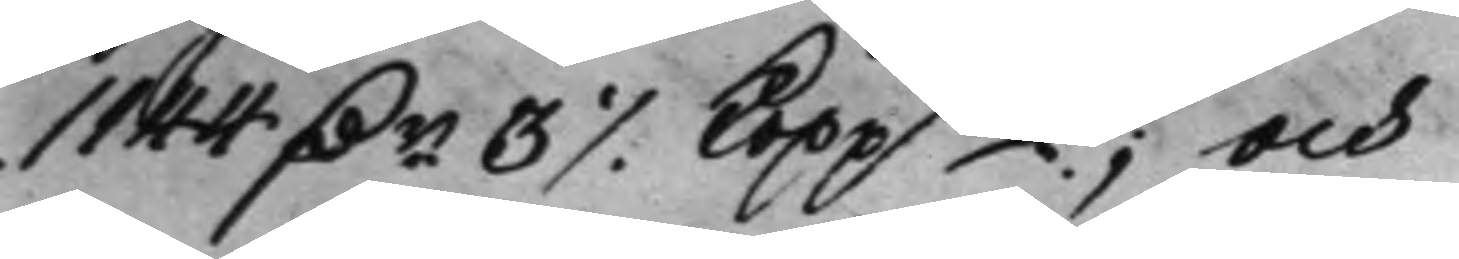1144 Dr 3 ./. Koppmt; och 
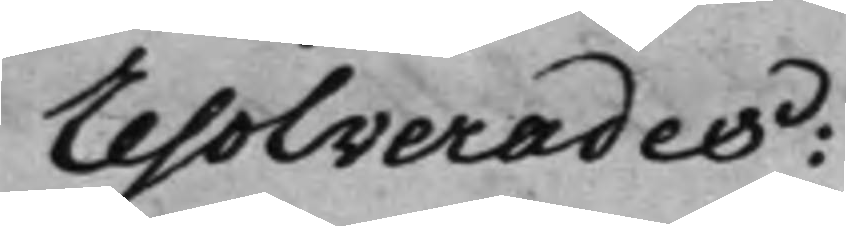resolverades:
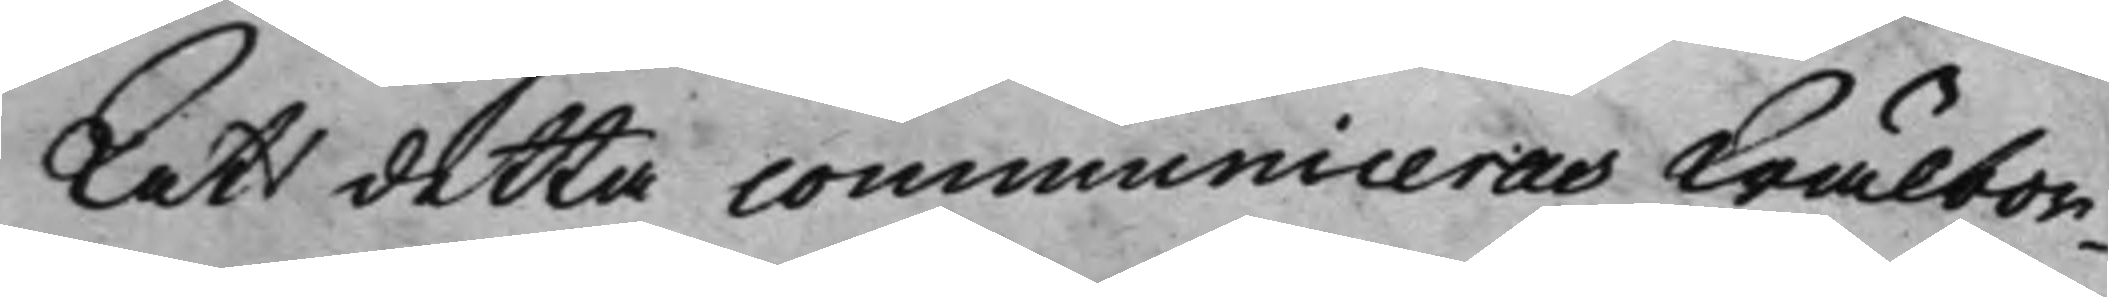Att detta communiceras Wälbor¬
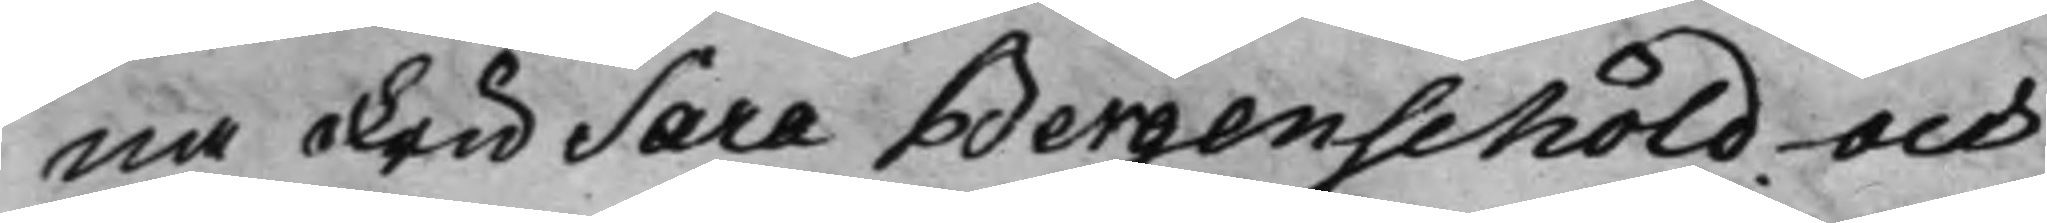na Fru Sara Bergenschöld och
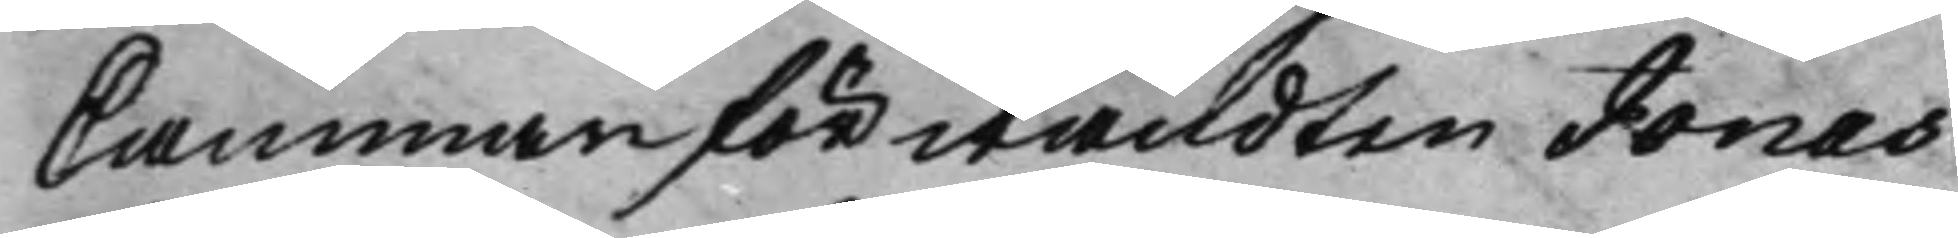Cammarförvandten Jonas
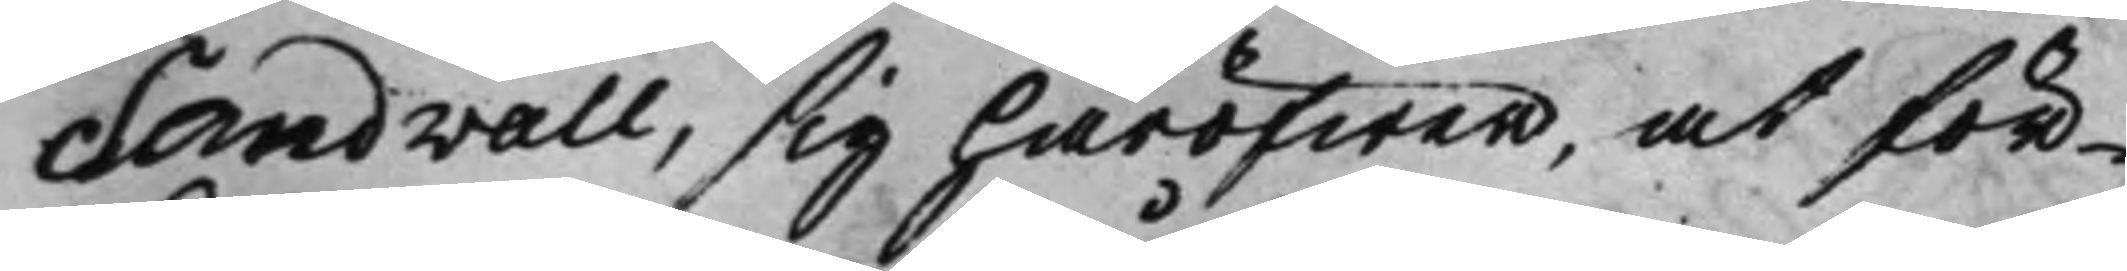Sandwall, sig häröfwer, at för¬
